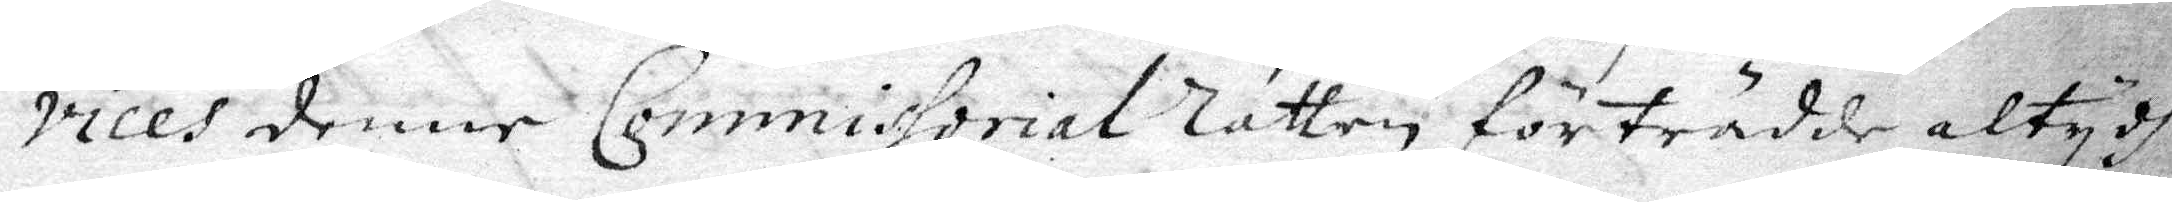vices denne Commissorial Rätten företrädde altydh
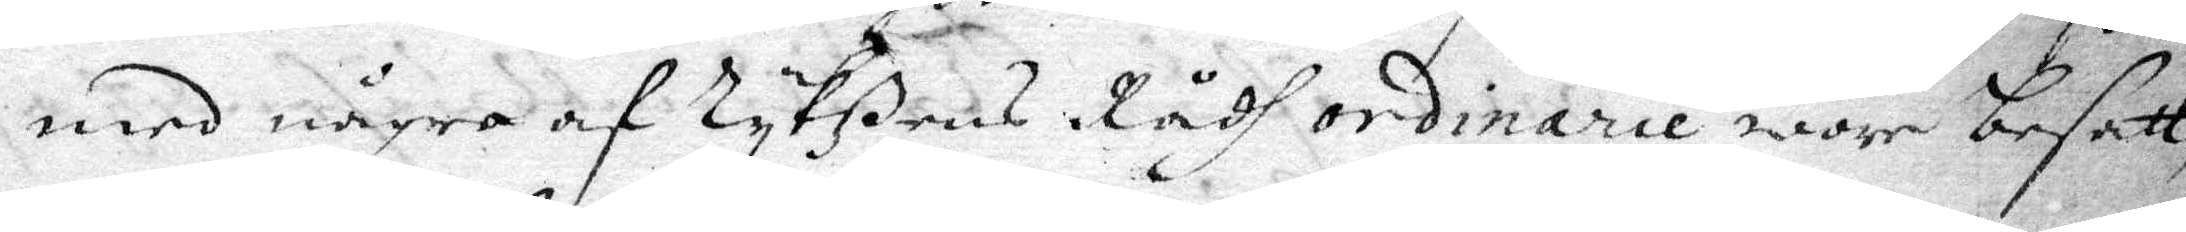med några af Rykßens Rådh ordinarie wore besatt,
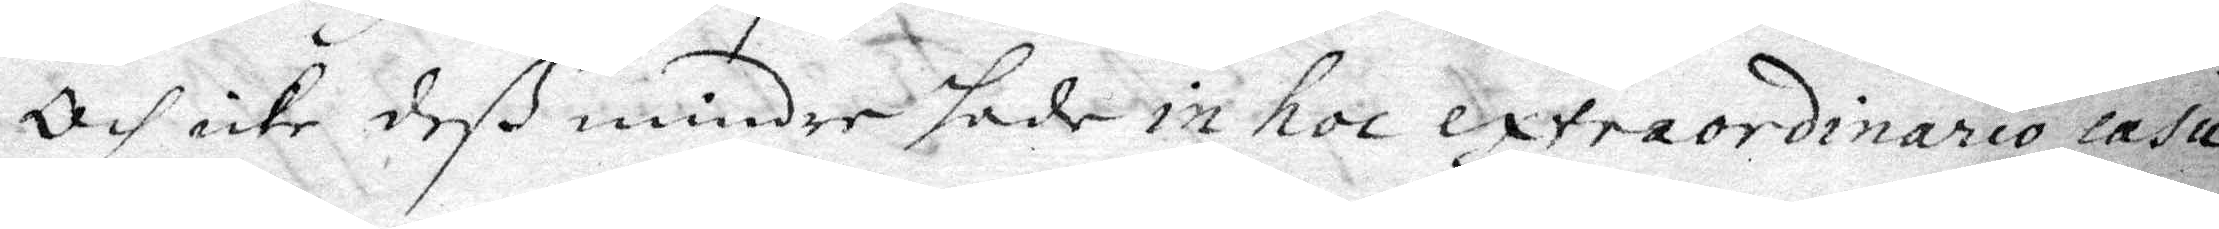Och icke deß mindre sade in hoc extraordinario casu
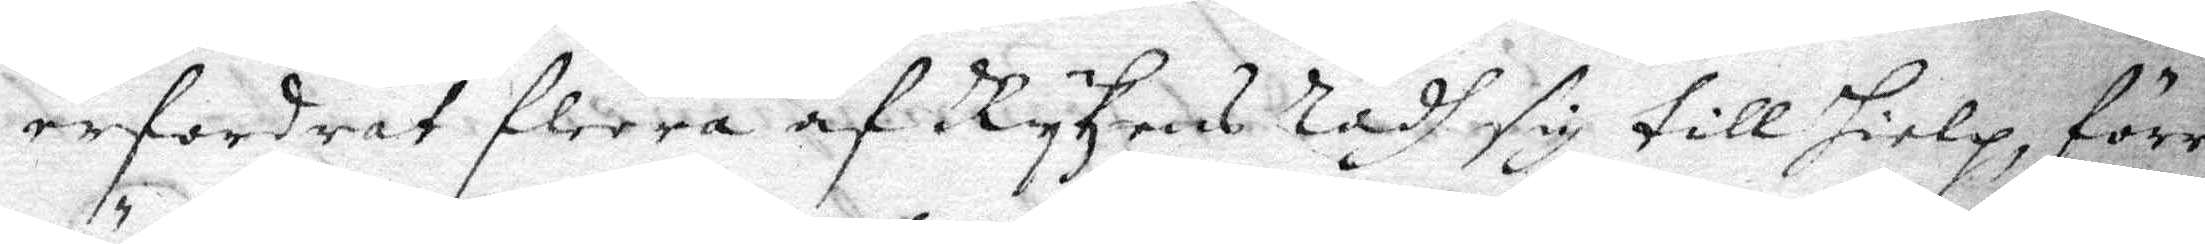erfordrat fleera af Rykzens Rådh sig till hielp, förr
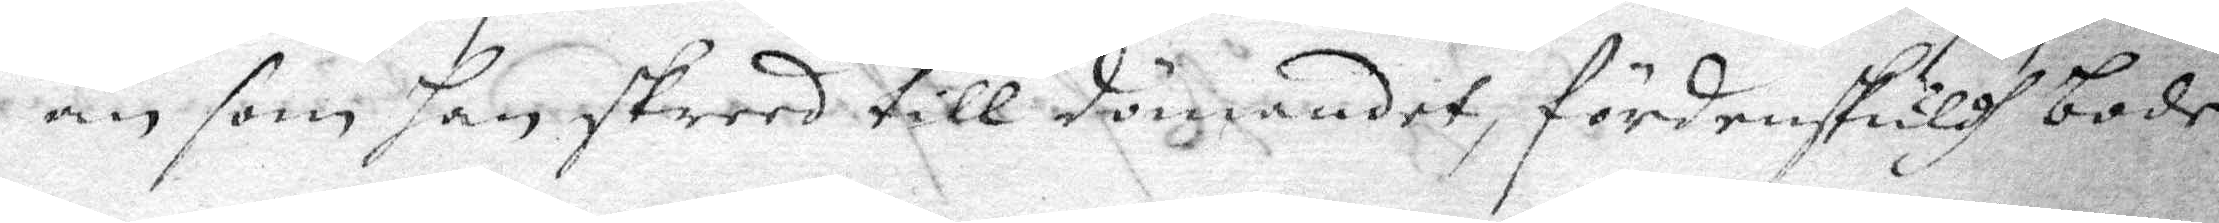än som han skreed till dömandet, fördenskuldh bode
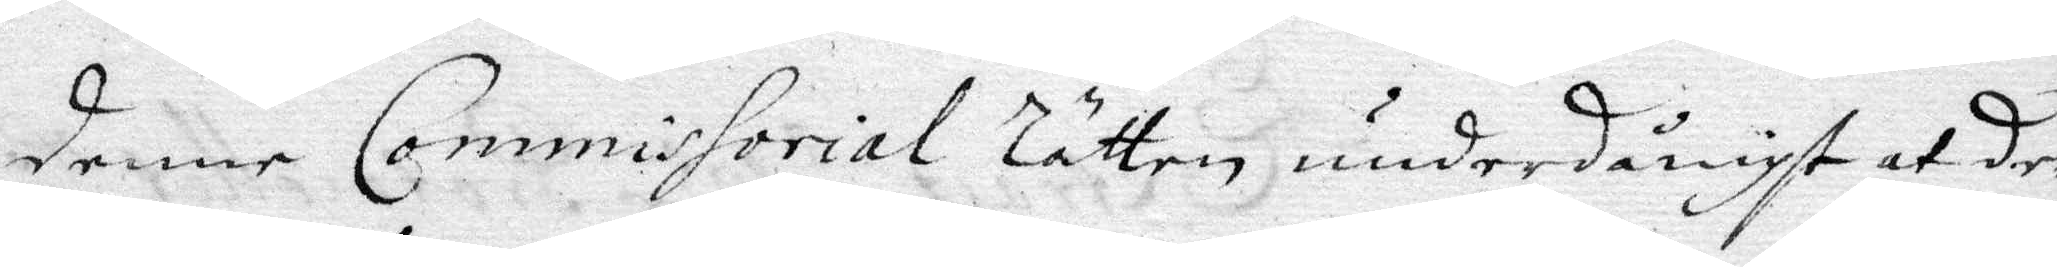denne Commissorial Rätten underdånigst at dee
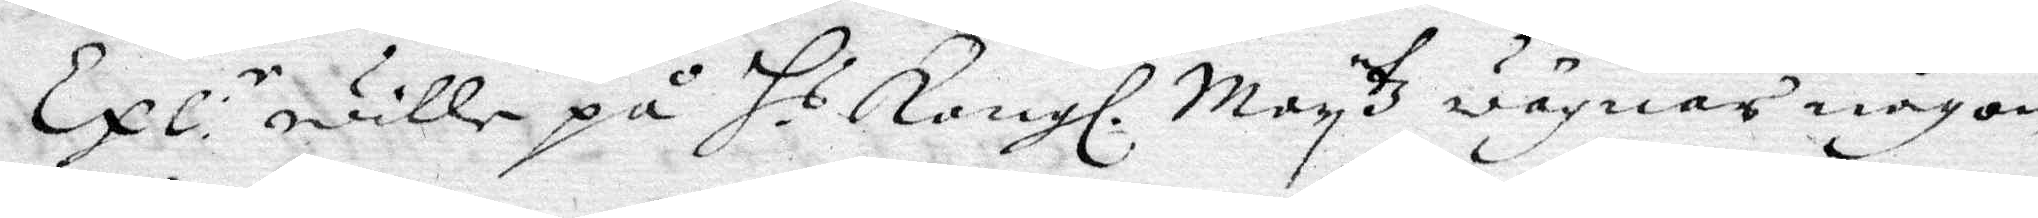Exl: r wille på H. s Kongl. May tz wägnar någon
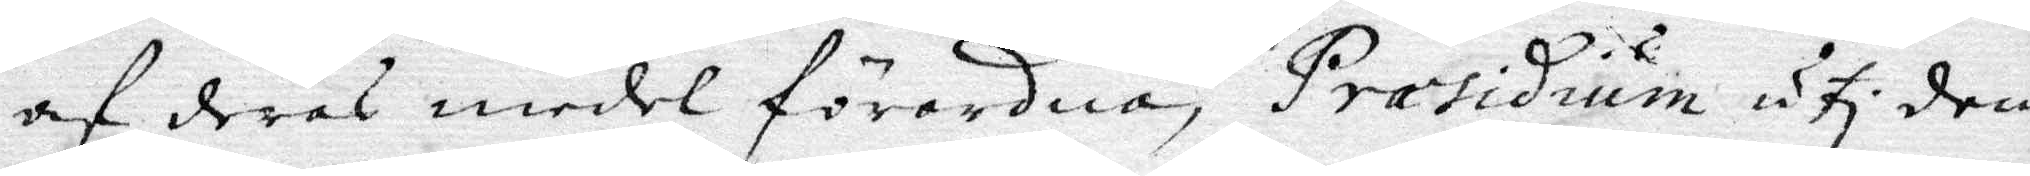af deras medel förordna, Præsidium uthi dem
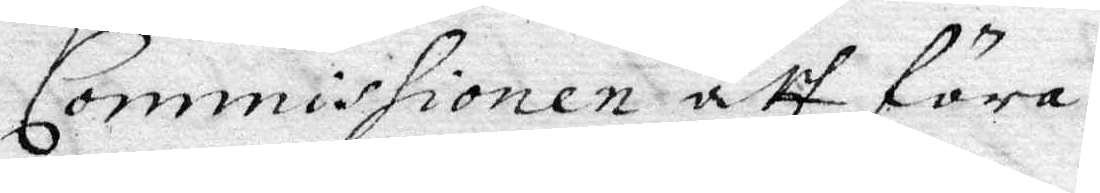Commissionen att föra.
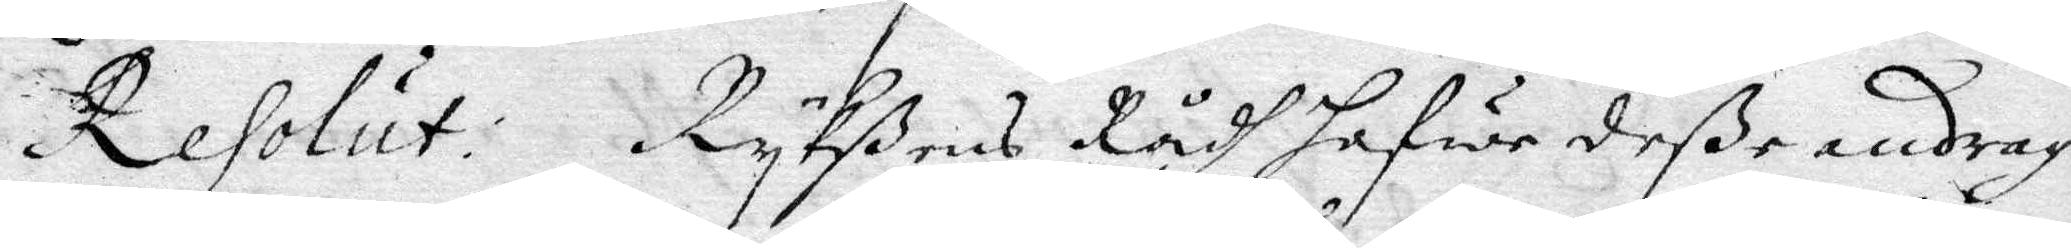Resolut: Rykßens Rådh hafwe deße andrag
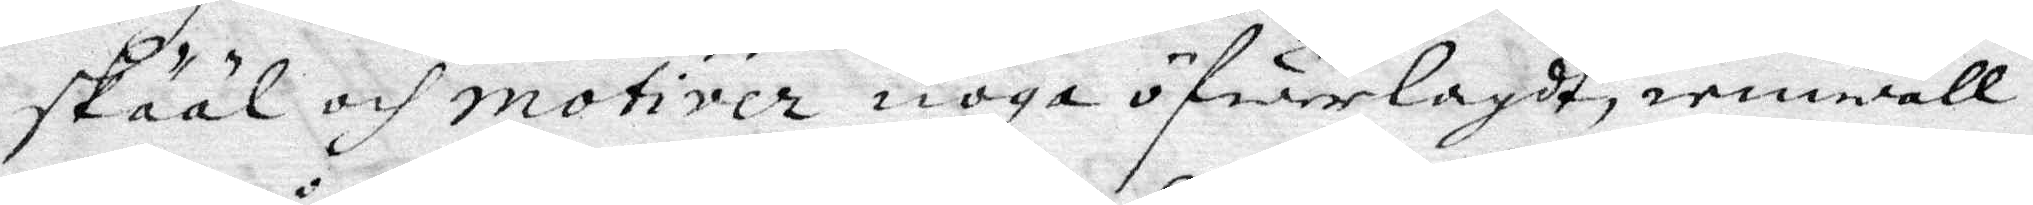skääl och motiver noga öfwerlagdt, iemwähl och
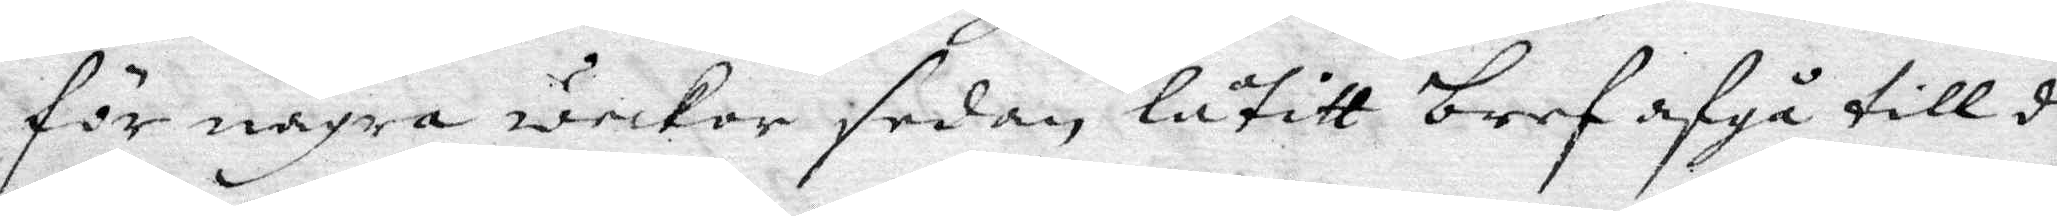för några weckor sedan låtitt bref afgå till de
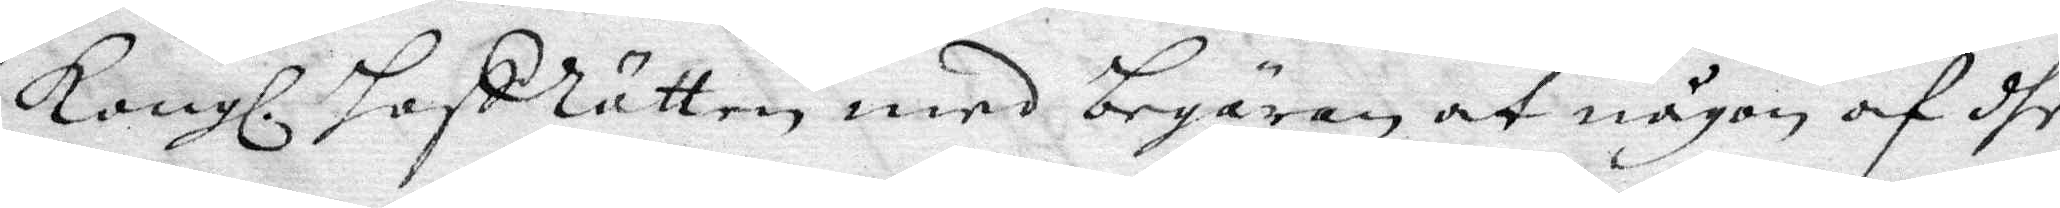Kongl. HofRätten med begäran at någon af dhe
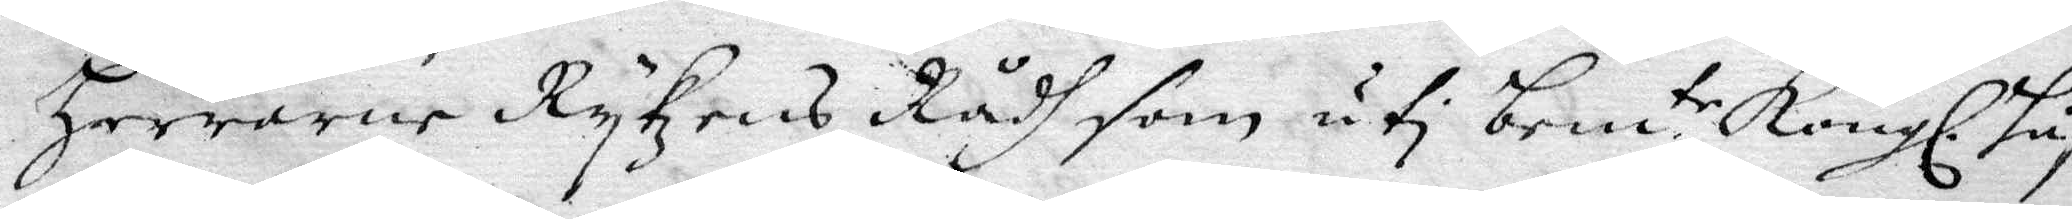Herrarne Rykzens Rådh som uti bem. te Kongl. Håf¬
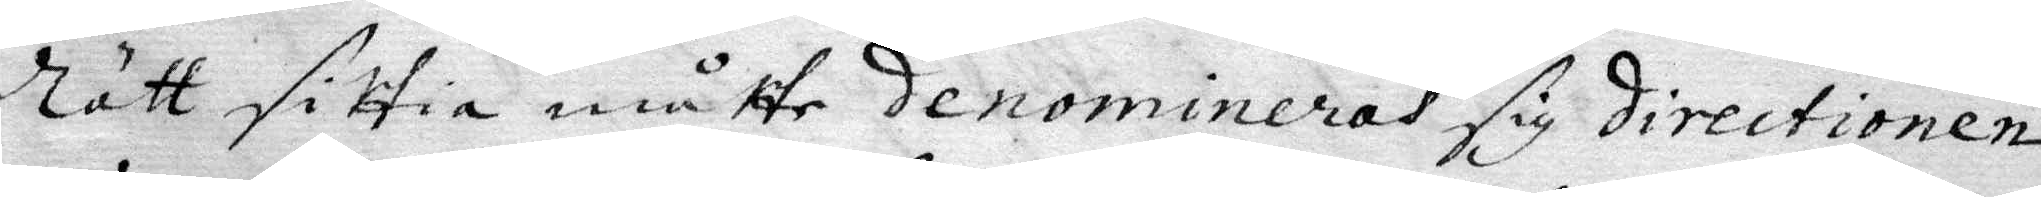Rätt sittia måtte denomineras sig directionen
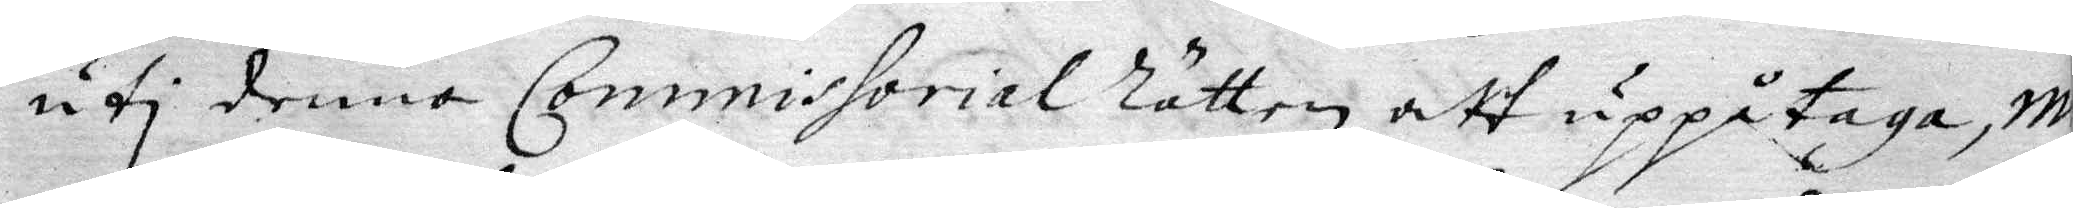uti denna Commissorial Rätten att uppåtaga, m
